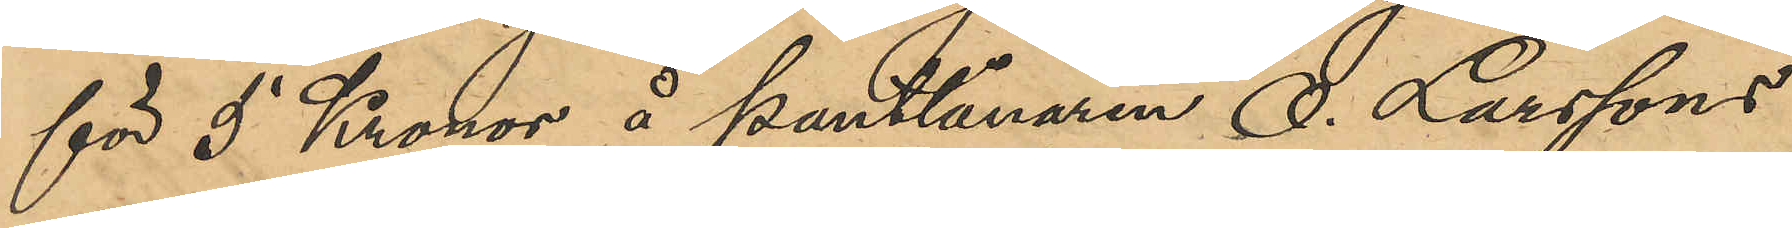för 5 Kronor å pantlånaren O. Larssons
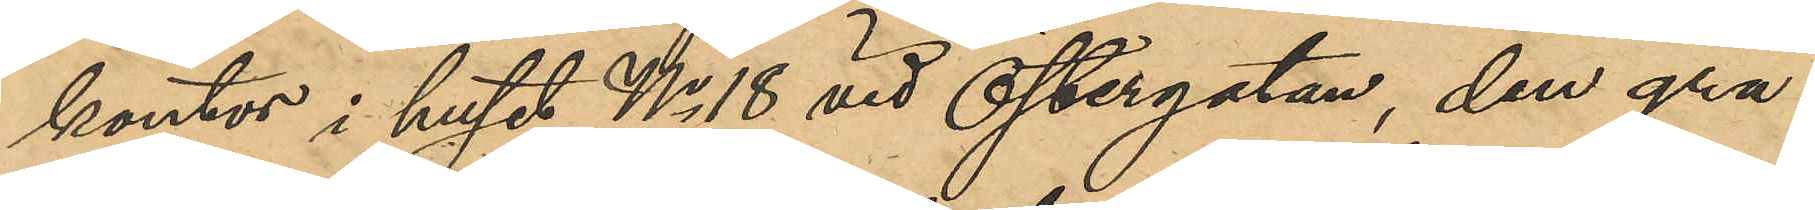kontor i huset No 18 vid Östergatan, den grå¬
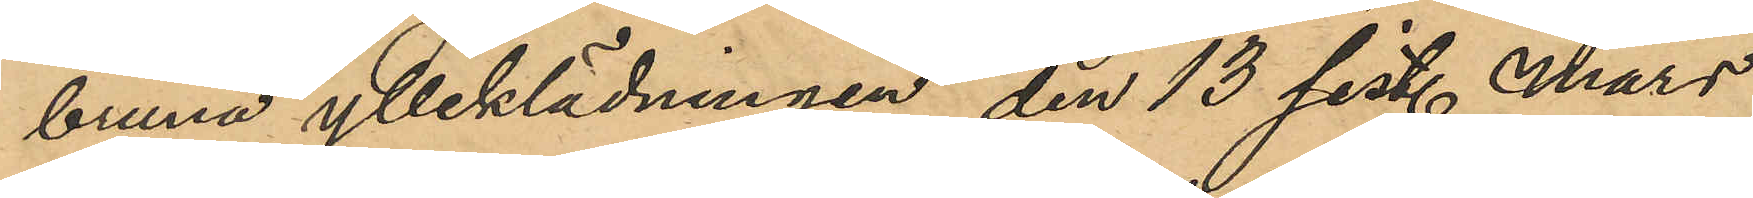bruna ylleklädningen den 13 sist. Mars
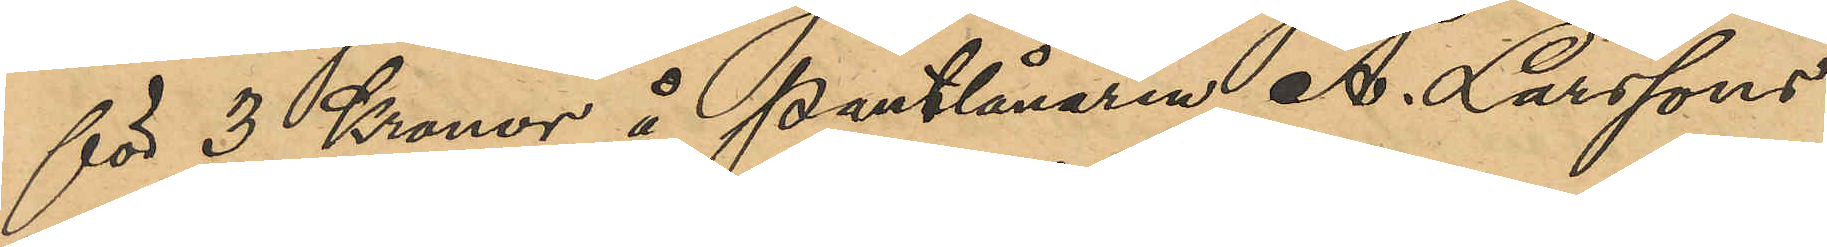för 3 Kronor å pantlånaren A. Larssons
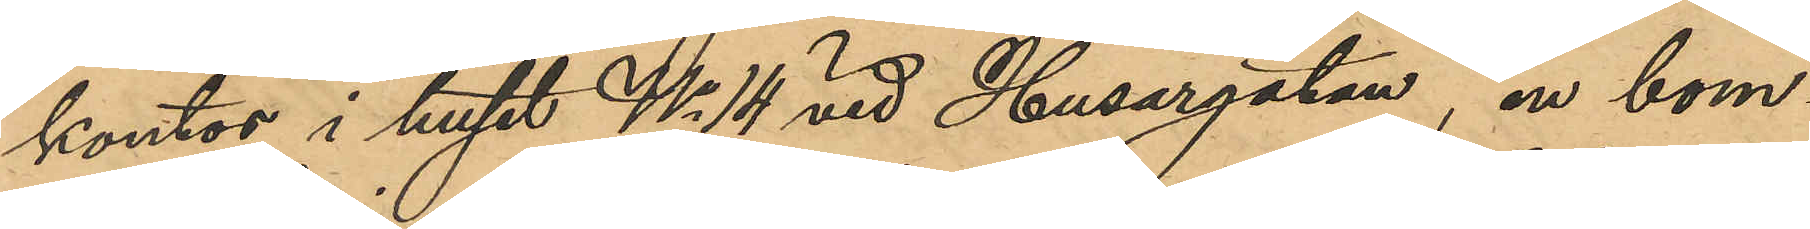kontor i huset No 14 vid Husargatan, en bom¬
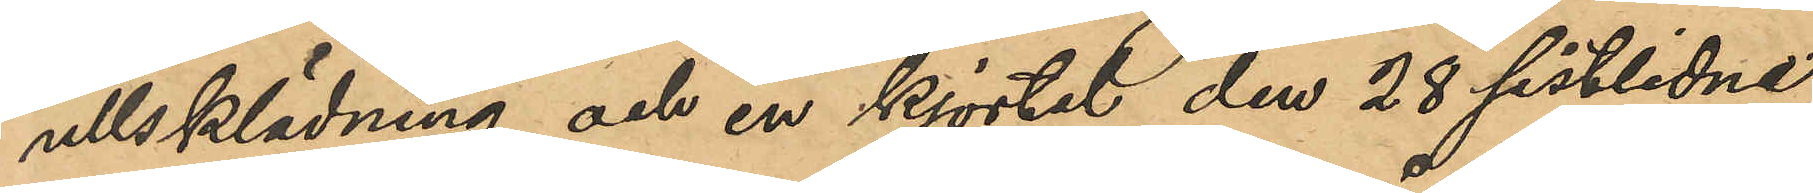ullsklädning och en kjortel den 28 sistlidne
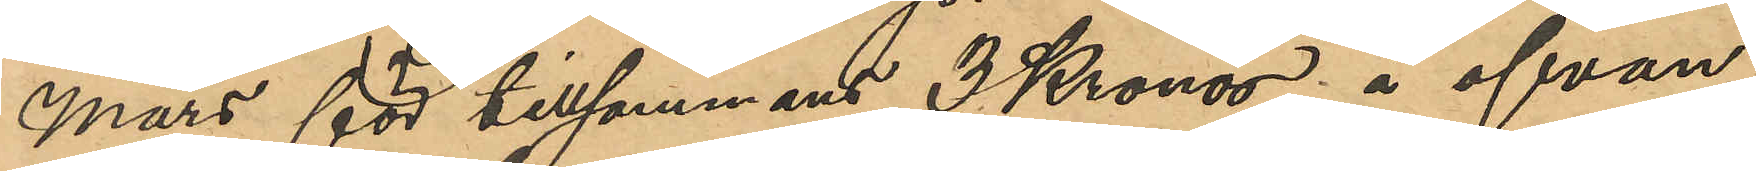mars för tillsammans 3 Kronor å ofvan
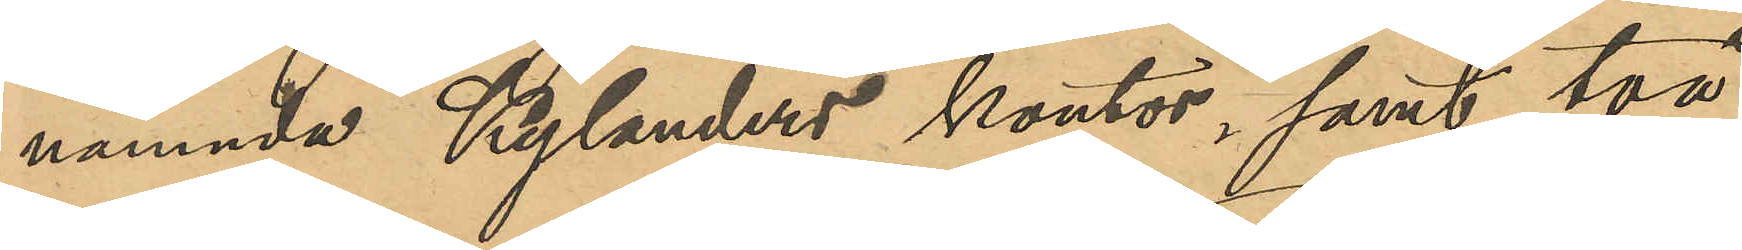nämnde Kylanders kontor, samt två
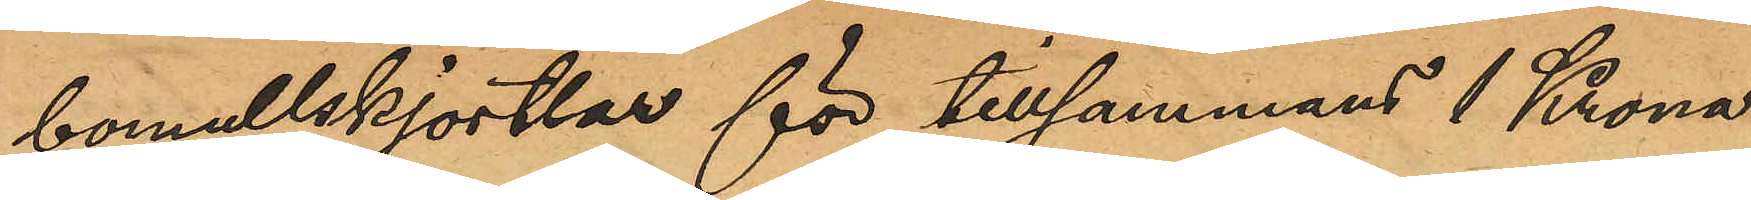bomullskjortlar för tillsammans 1 Krona
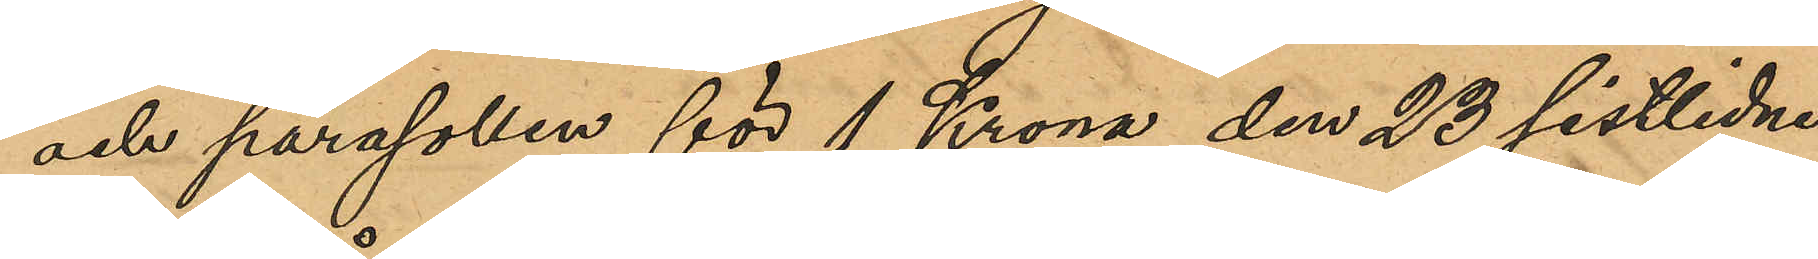och parasollen för 1 Krona den 23 sistlidne
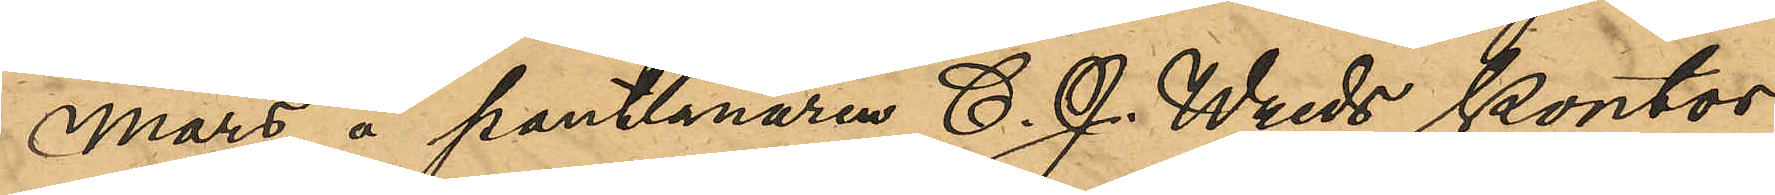mars å pantlånaren C. J. Wreds kontor
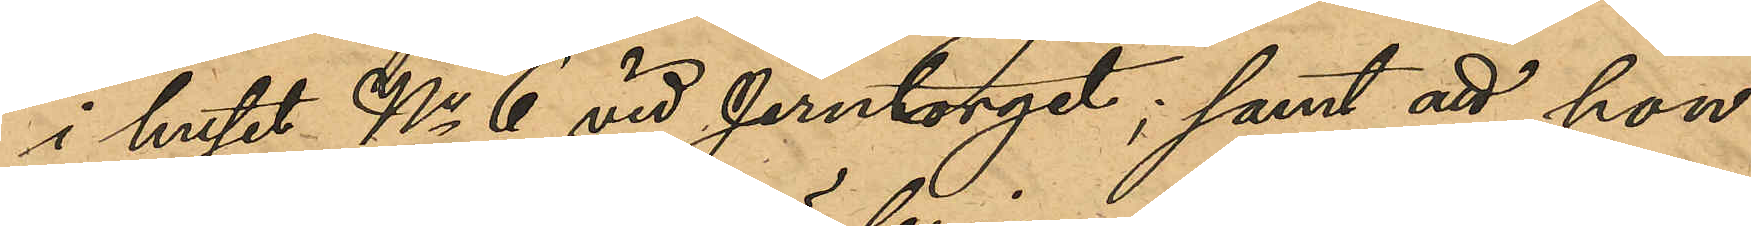i huset No 6 vid Jerntorget; samt att hon
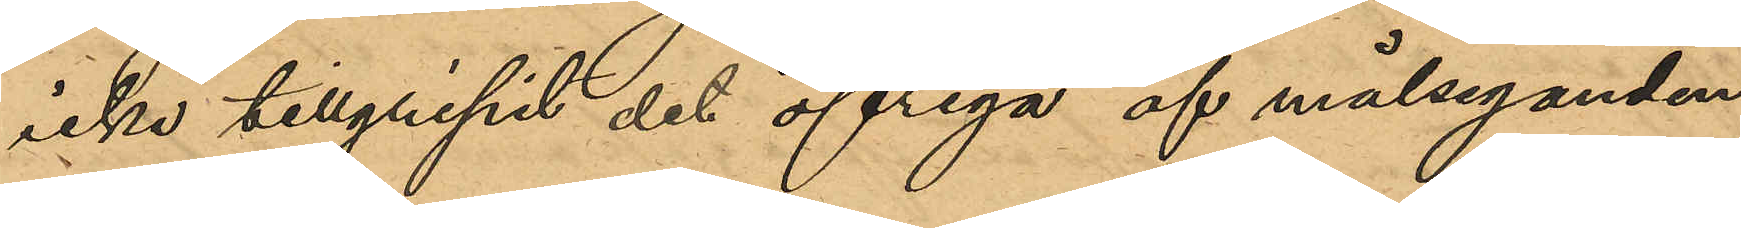icke tillgripit det öfriga af målseganden
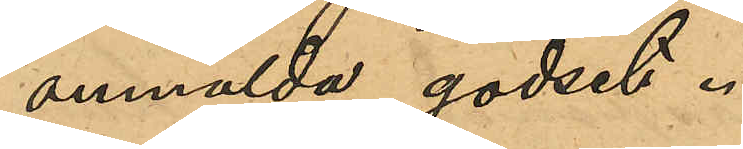anmälda godset.
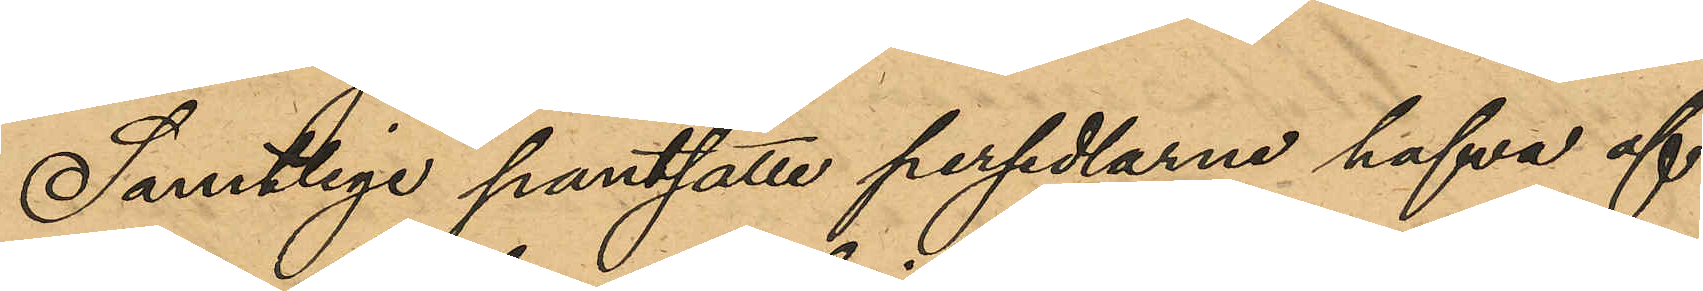Samtliga pantsatte persedlarne hafva af
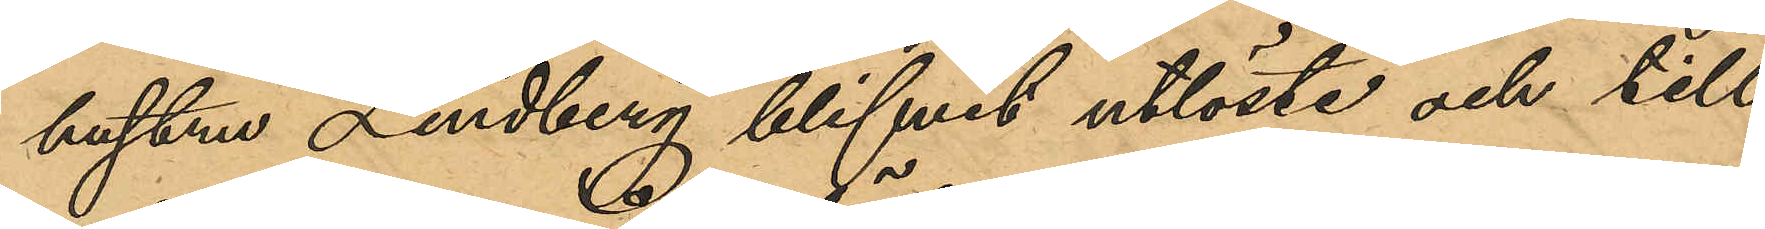hustrun Lindberg blifvit utlöste och till
